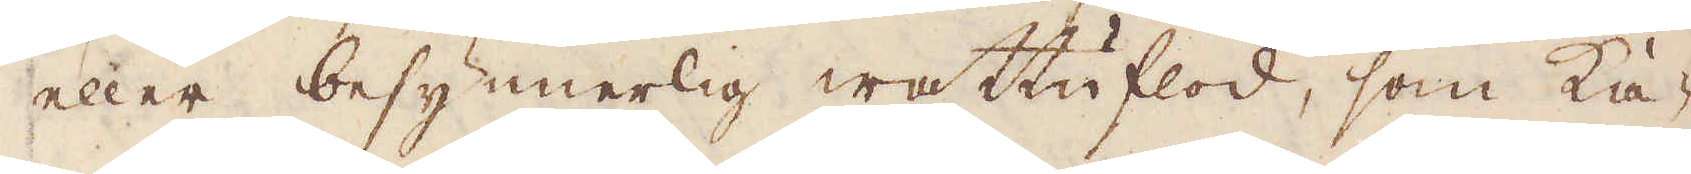eller besynnerlig wattuflod, som ka-
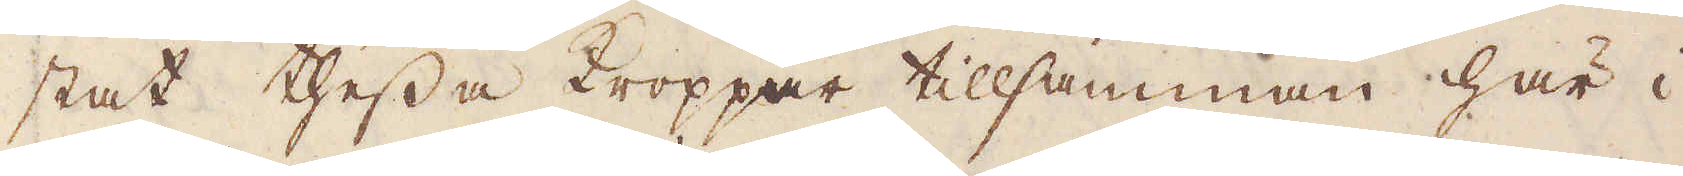stat thessa kroppar tillsamman här i
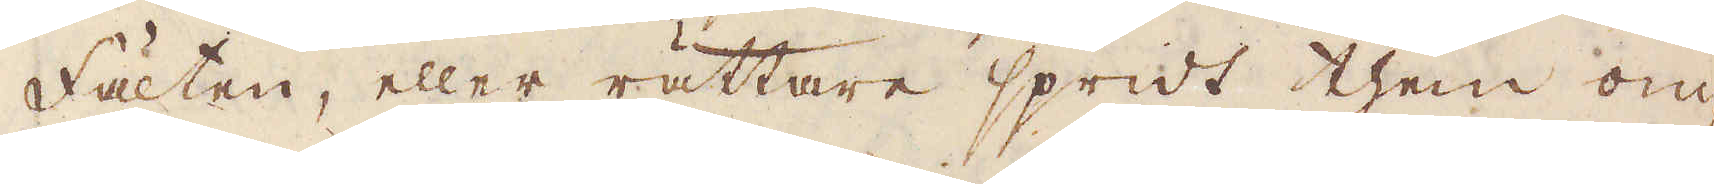fälten, eller rättare spridt them om-
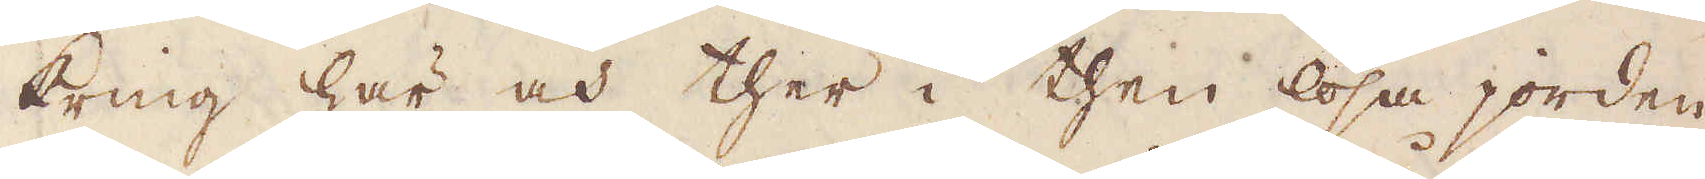kring här och ther i then lösa jorden.
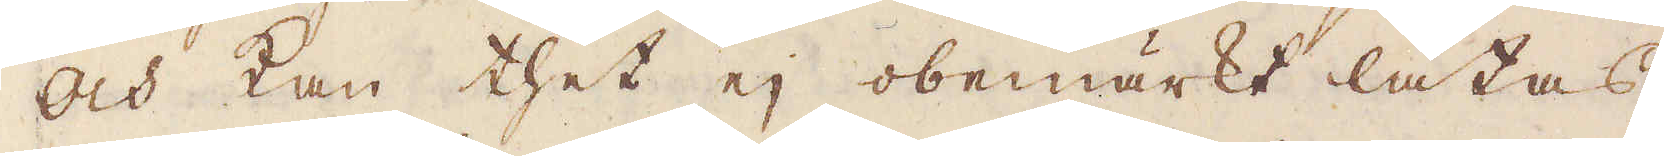Och kan thet ej obemärkt låtas,
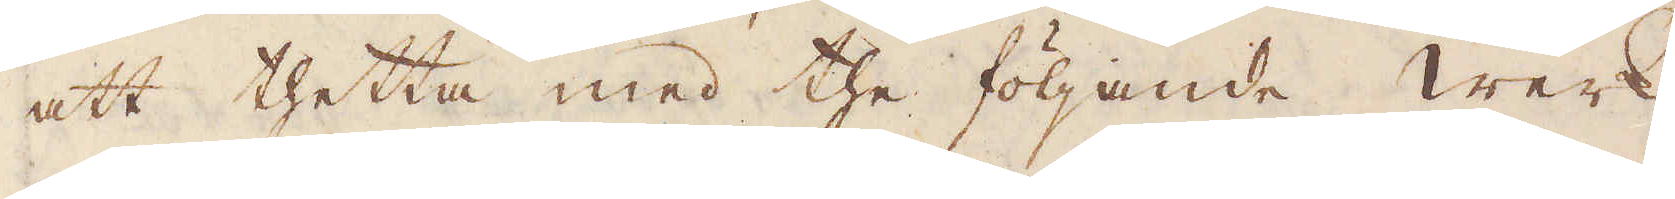att thetta med the följande werk
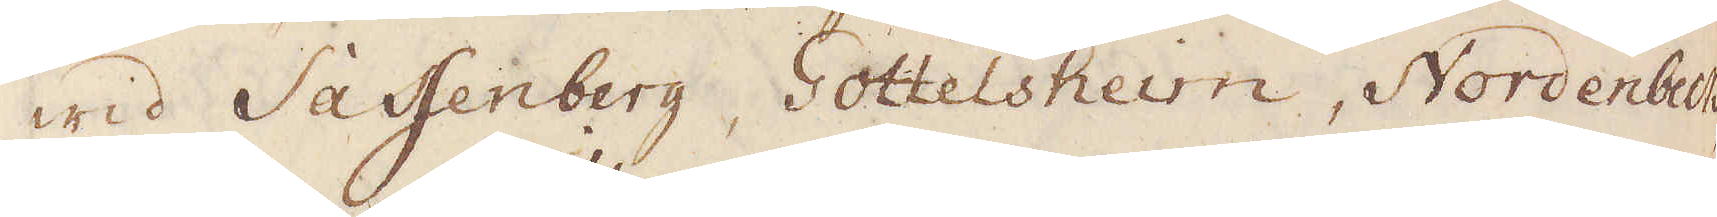wid Saffenberg, Gottelsheim, Nordenbeck,
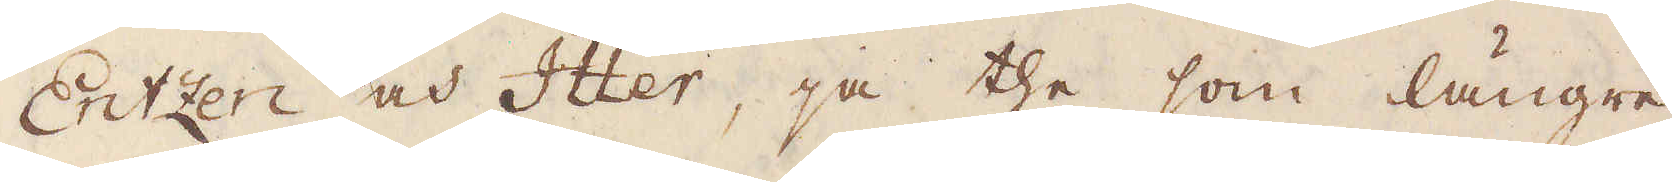Entzen och Itter, ja the som längre
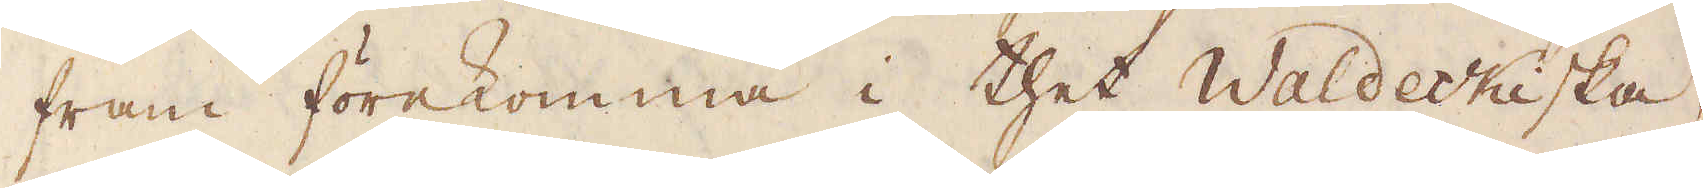fram förekomma i thet Waldeckiska,
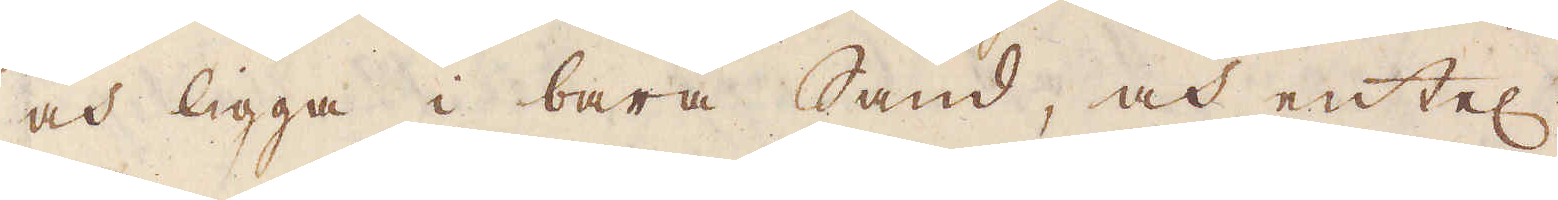och ligga i bara Sand, och entel:n
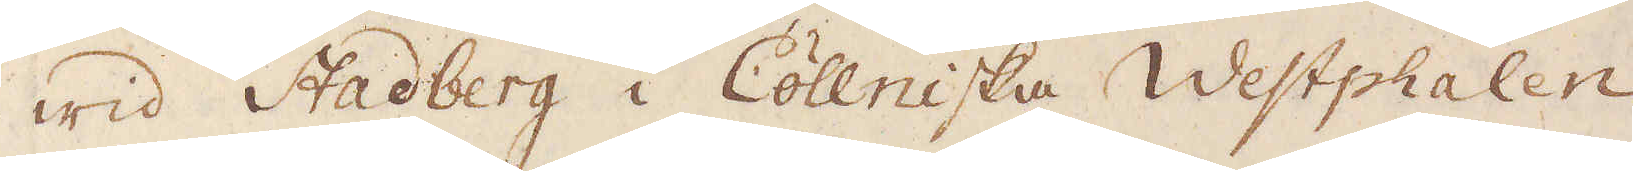wid Stadberg i Cöllniska Westphalen,
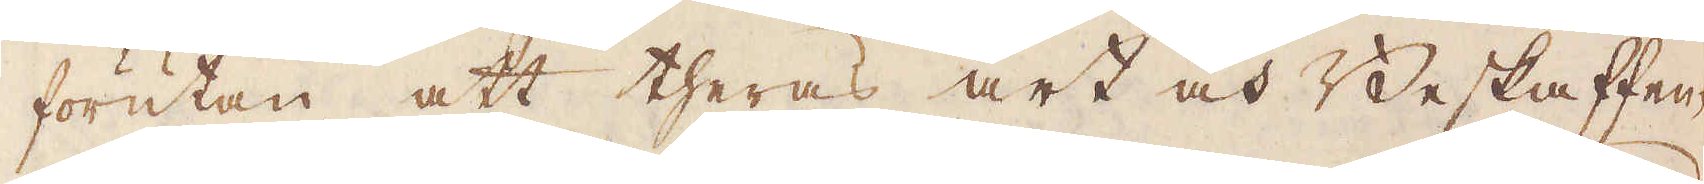förutan att theras art och Beskaffen-
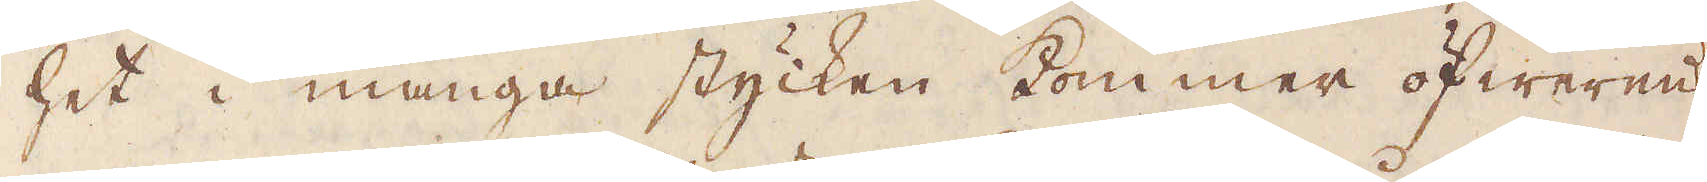het i många stycken kommer öfwerens,
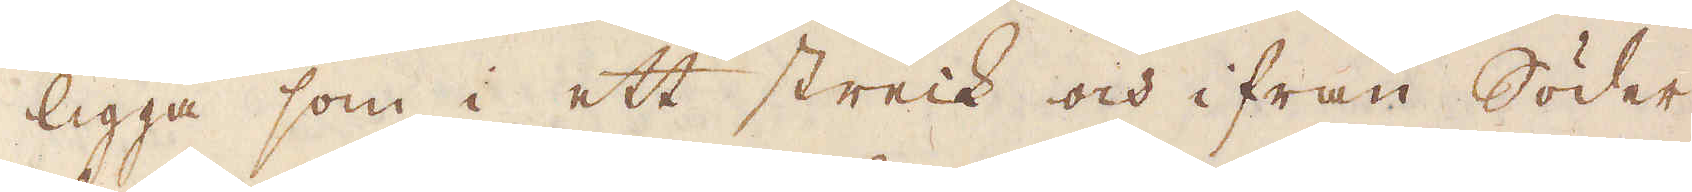ligga som i ett streck och ifrån Söder
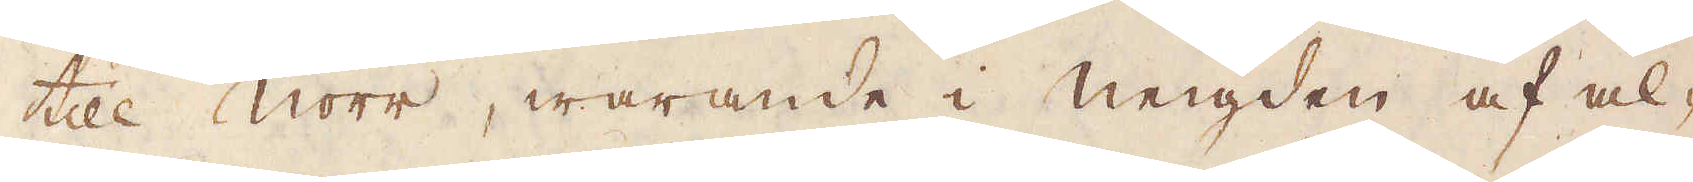till Norr, warande i neigden af al-
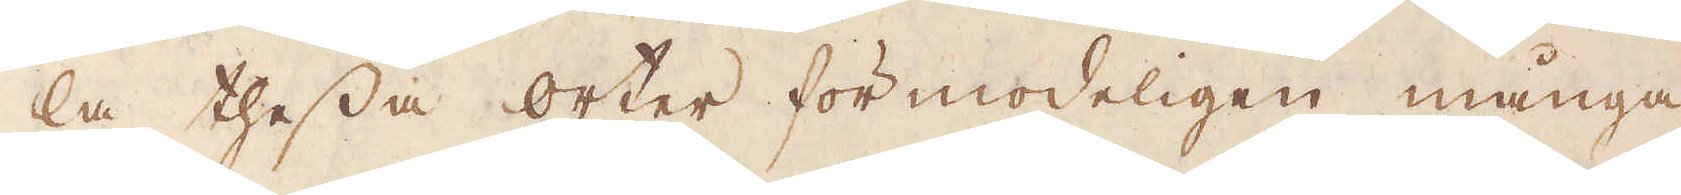la thessa orter förmodeligen många
